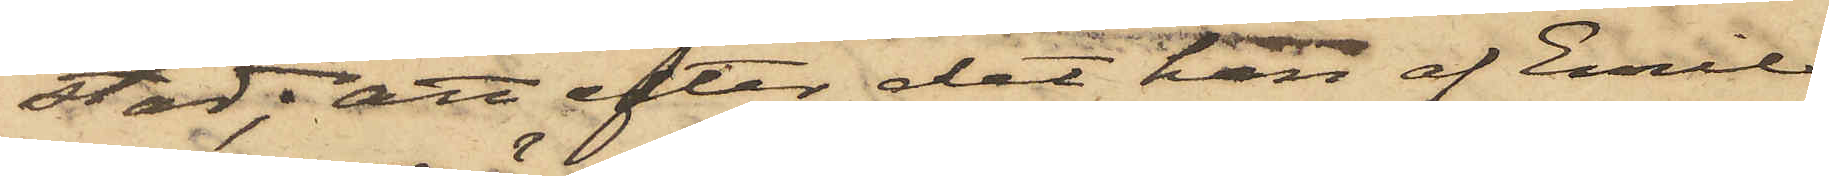stad; att efter det han af Emil
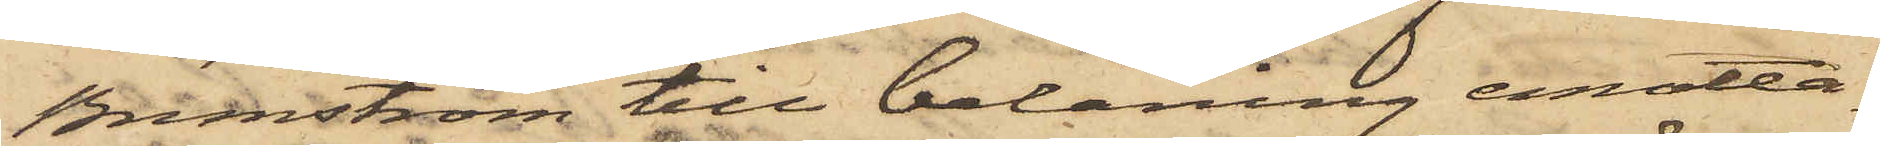Brunström till belåning emotta¬
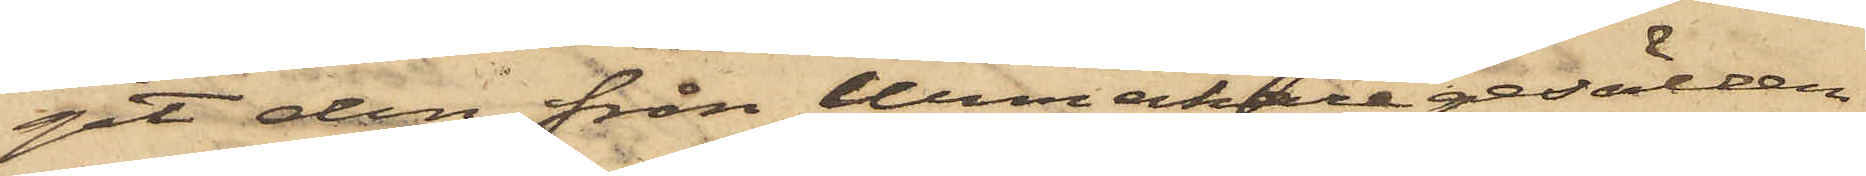git den från Urmakaregesällen
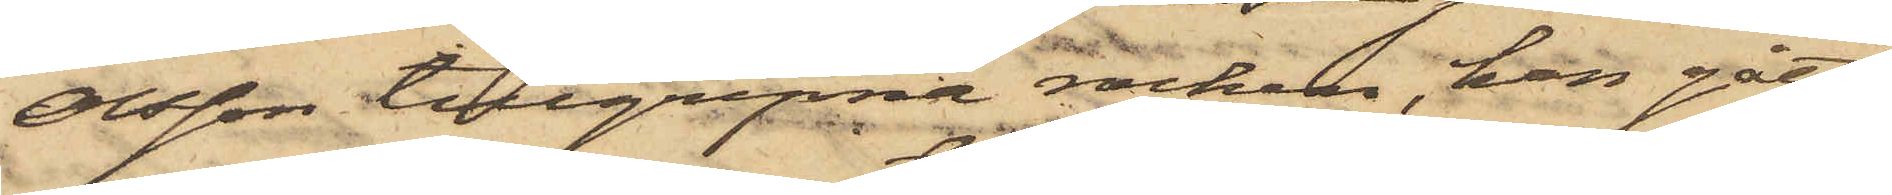Olsson tillgripne rocken, han gått
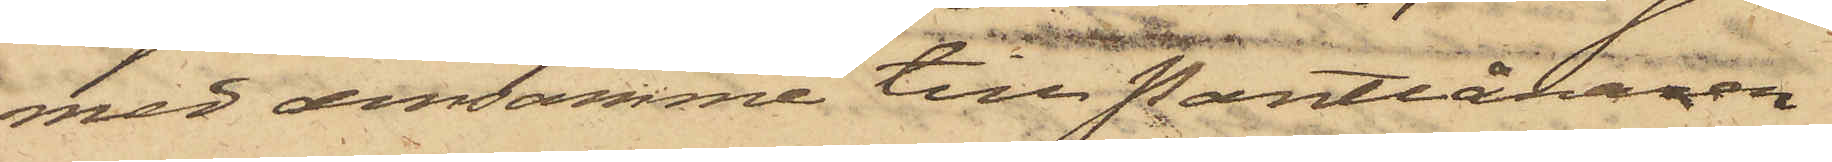med densamme till Pantlånaren
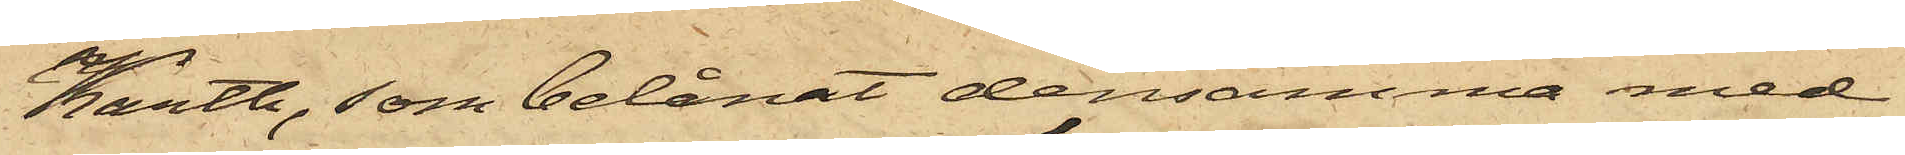Karth, som belånat densamma med
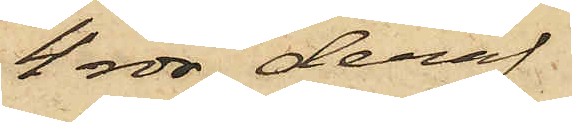4 rdr, deraf
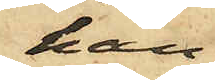han
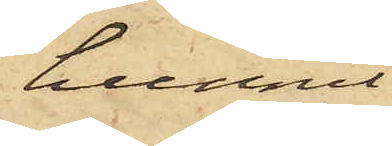hunnit
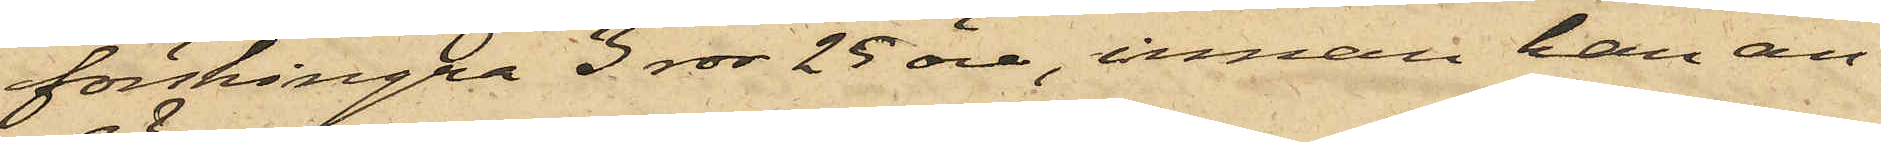förskingra 3 rdr 25 öre, innan han an¬
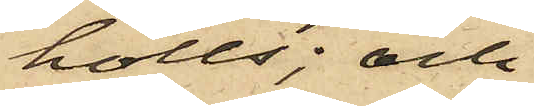hölls; och
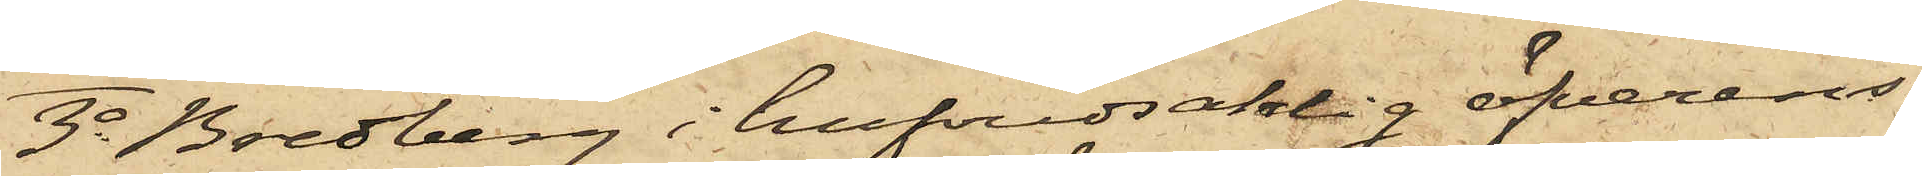3o Bredberg i hufvudsaklig öfverens¬
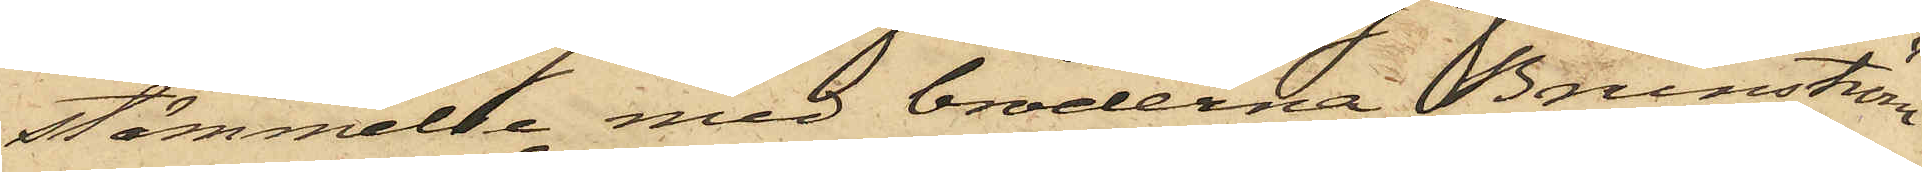stämmelse med bröderna Brunström
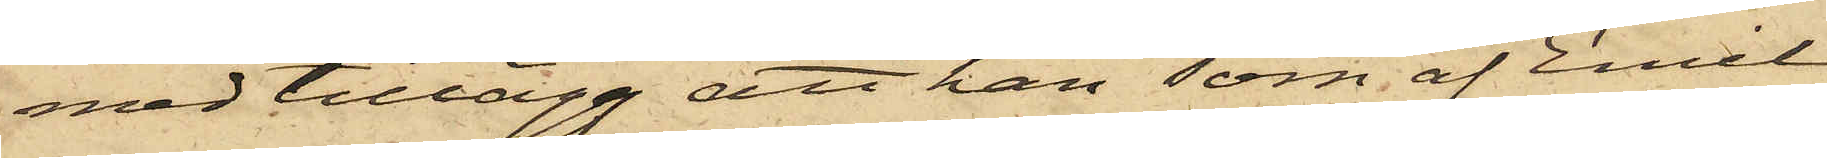med tillägg att han som af Emil
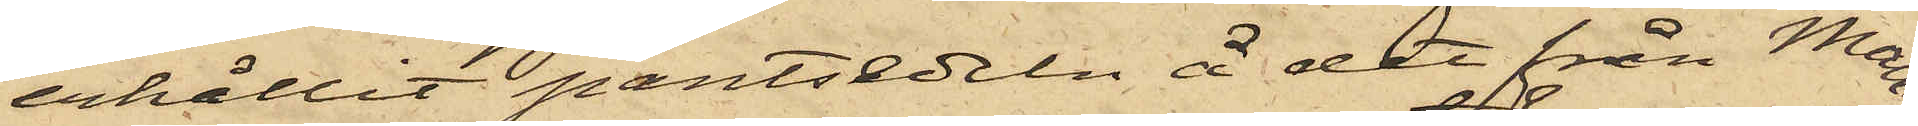erhållit pantsedeln å det från Mam¬
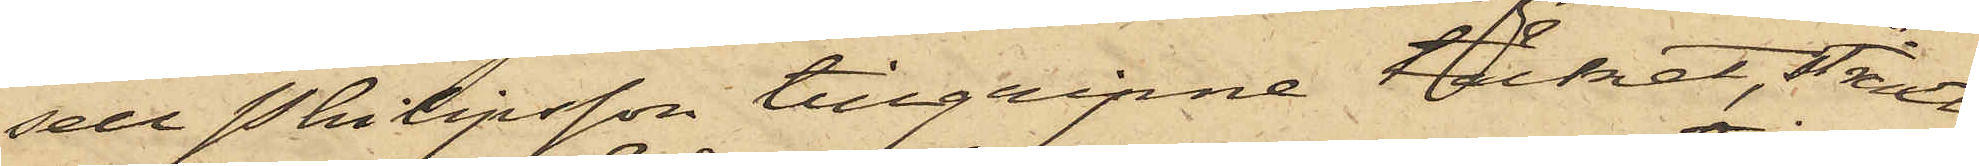sell Philipsson tillgripne täcket, straxt
